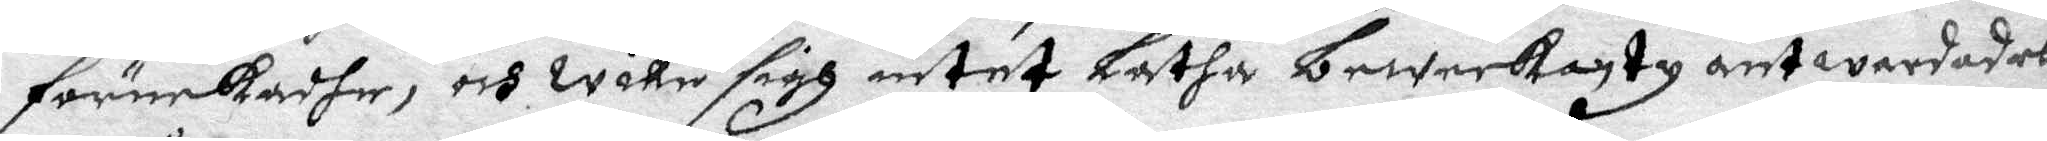förnekadhe, och willie sigh intet Låtha beweekantz antwardades
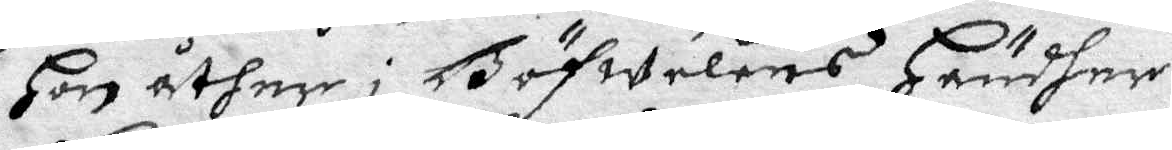Hon åther i Böfwelens Händher:
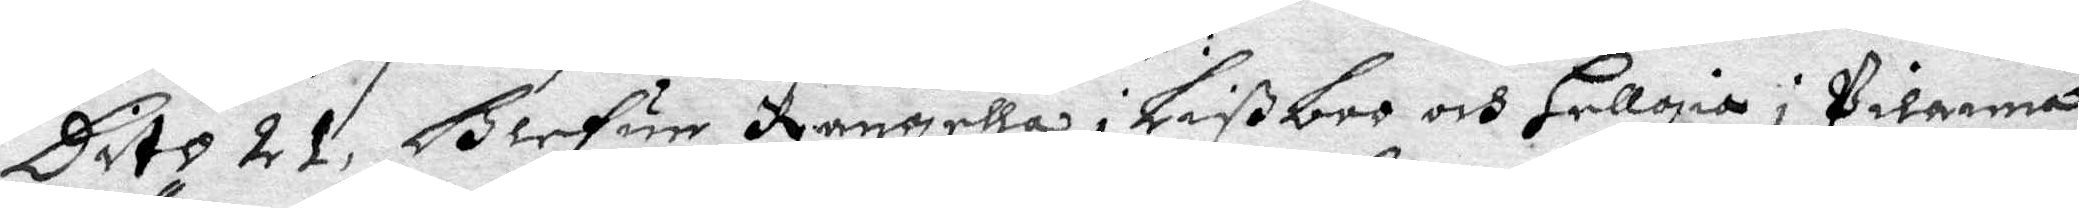Dito 21. Blefue Rangella i Lißboo och Hellgia i Pilanna
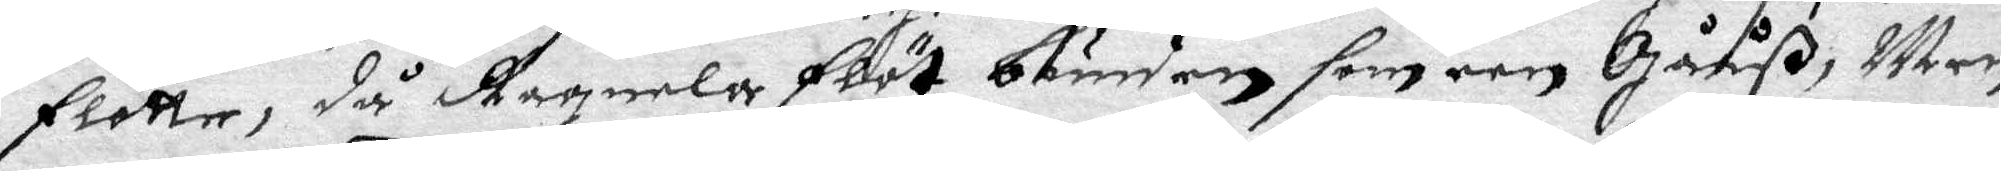flötte, då Ragnela flöt bunden som een Gååß, Meen
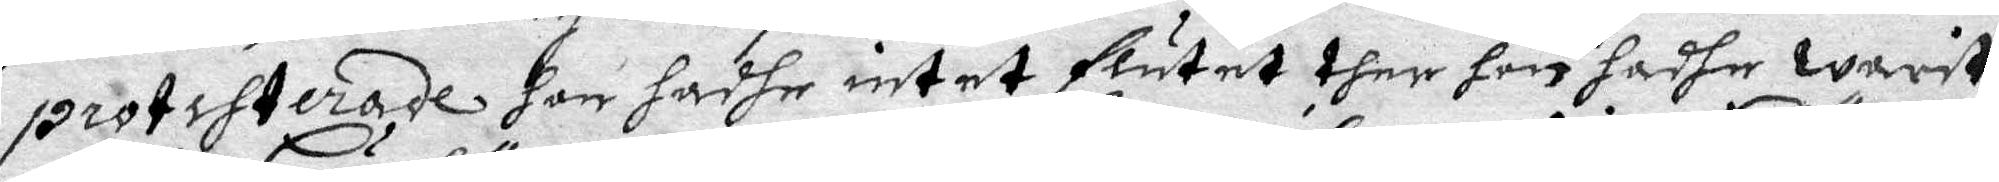protesterade hon hadhe intet flutat ther hon hadhe warit
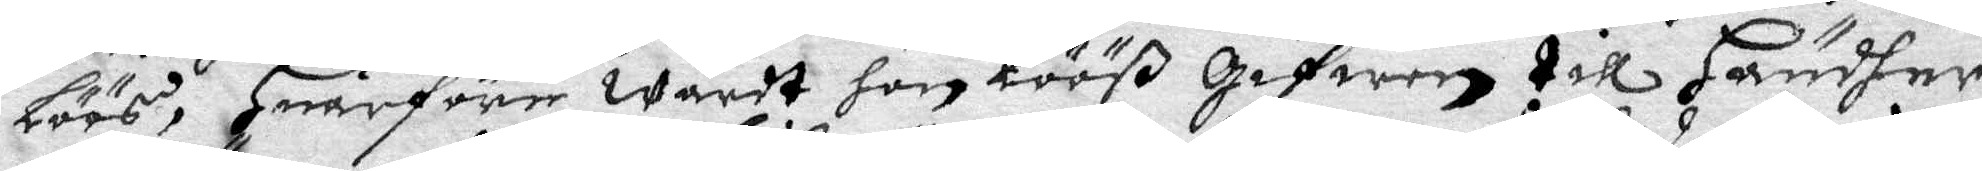löös, Huarföre wardt hon lööß Gifwen till Händher
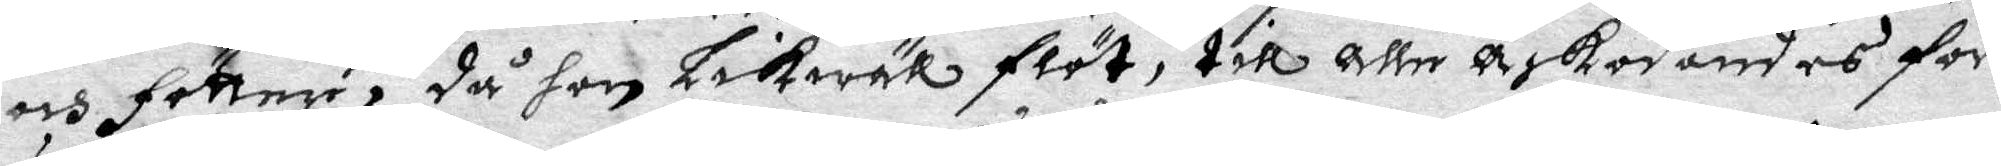och föttere, då hon Lickwäll flöt, till alle åskodandes för¬
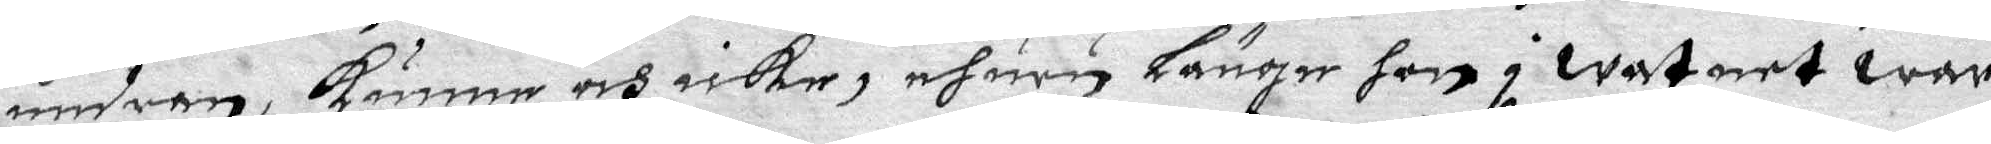undran, kunne och icke, ehuru länge hon i watnet war
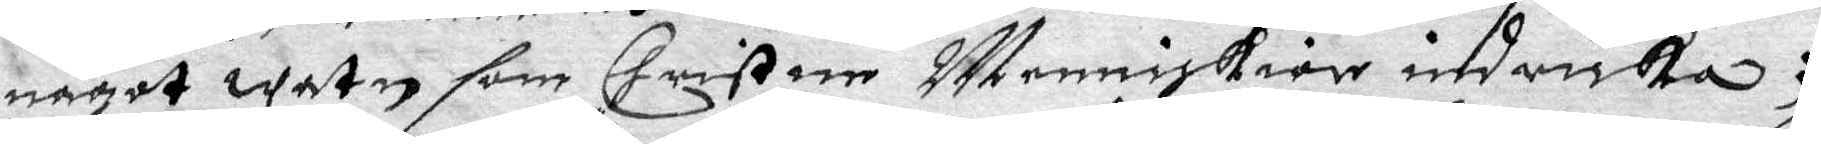något watn som Christne Menniskior indricka;
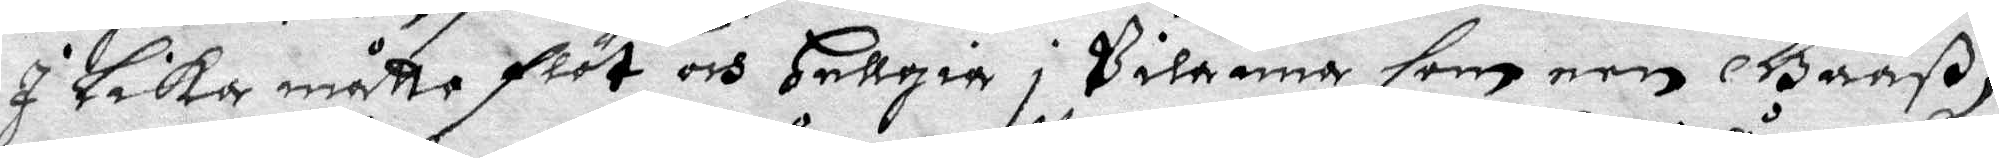I Lika måtto flöt och Hellgia i Pilanna som een Gååß,
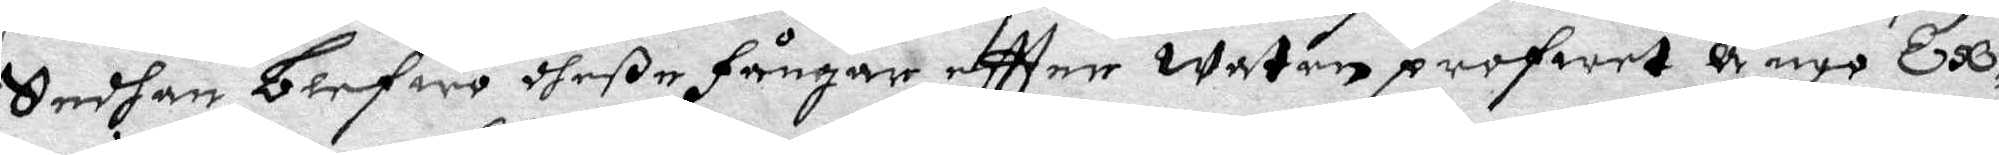Sedhan blefwo dheße fångar effter Waten profwet anyo Ex¬
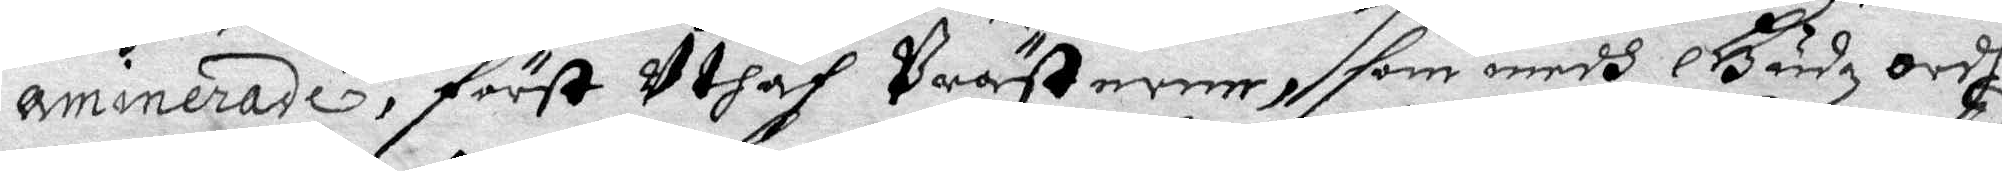aminerade, först uthaf Prästerne, som medh Gudz ordh
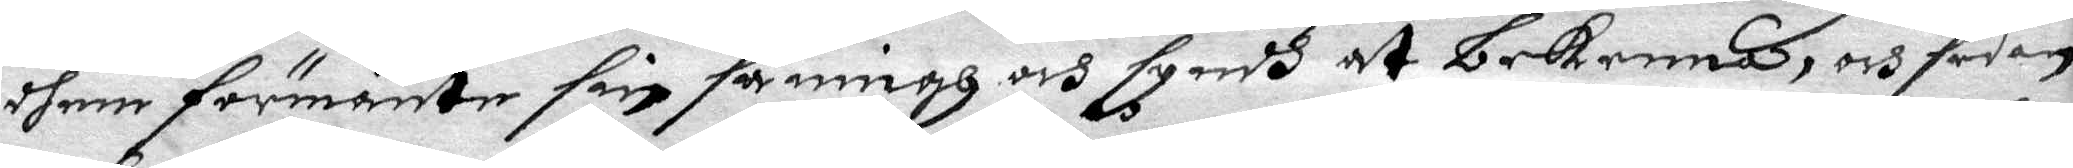dhem förmante sin saningh och syndh att bekenna, och sedan
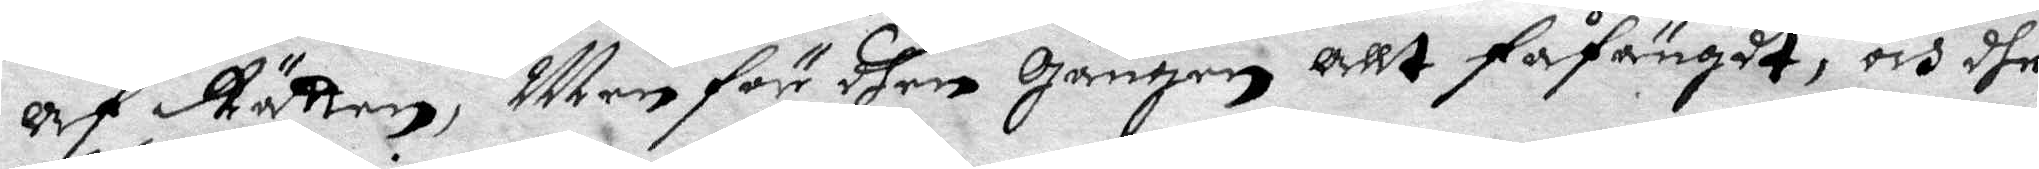af Rätten, Men för dhen Gången allt fåfängdt, och dhe
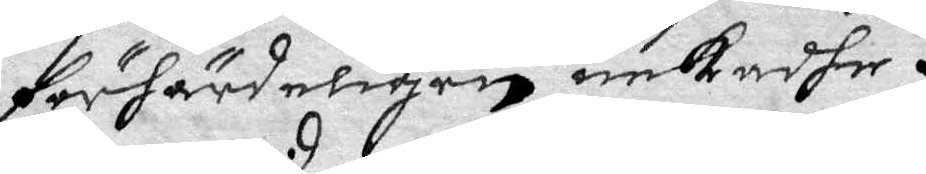förhärdeligen nekadhe.
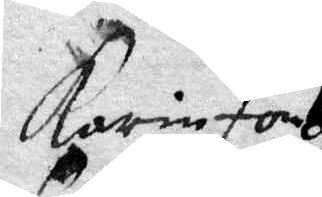Karin Jons
